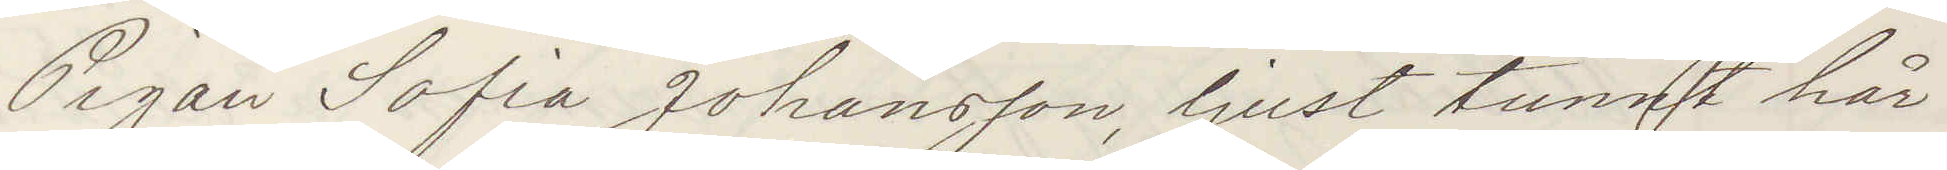Pigan Sofia Johansson, ljust tunnt hår
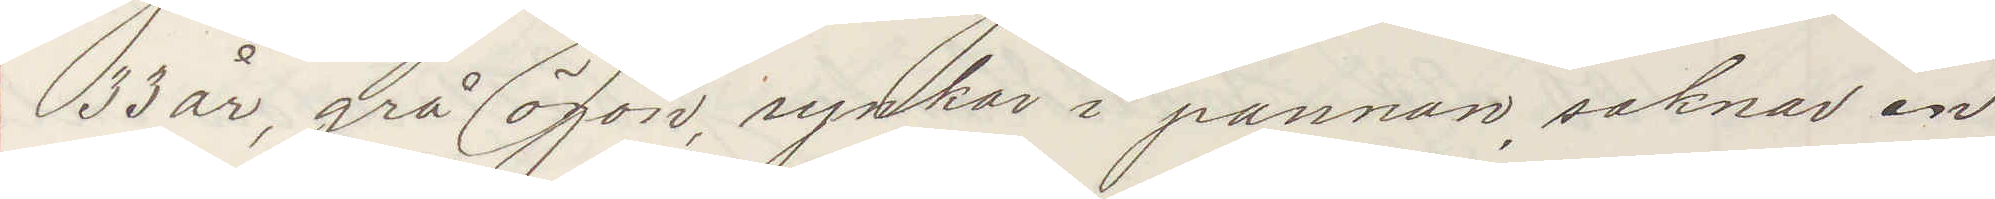33 år, grå ögon, rynkor i pannan, saknar en
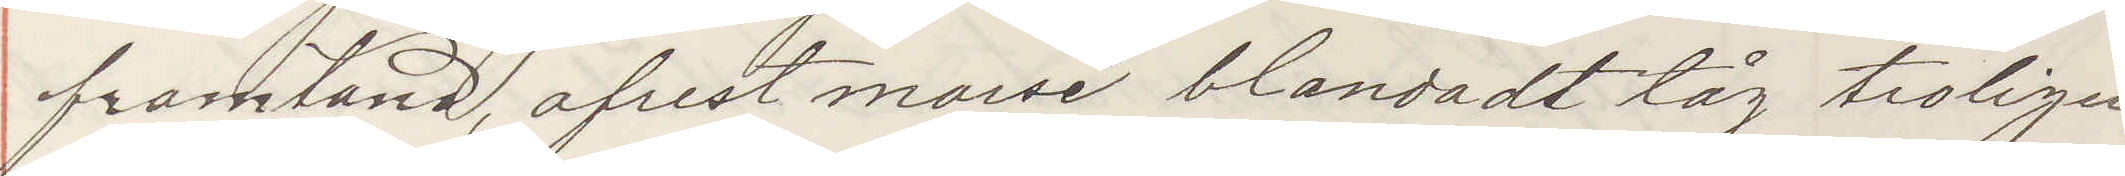framtand, afrest morse blandadt tåg troligen
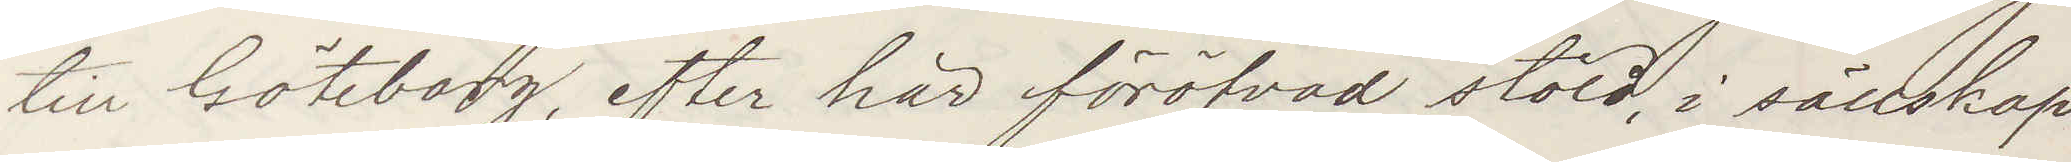till Göteborg, efter här föröfvad stöld, i sällskap
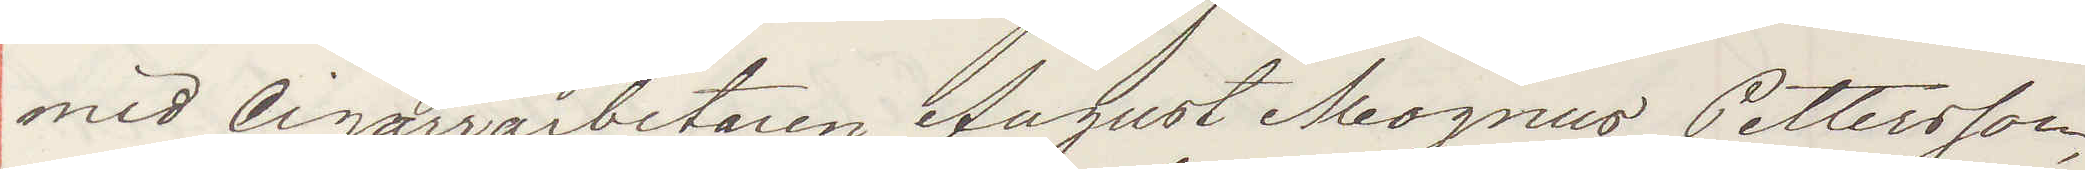med Cigarrarbetaren August Magnus Pettersson,
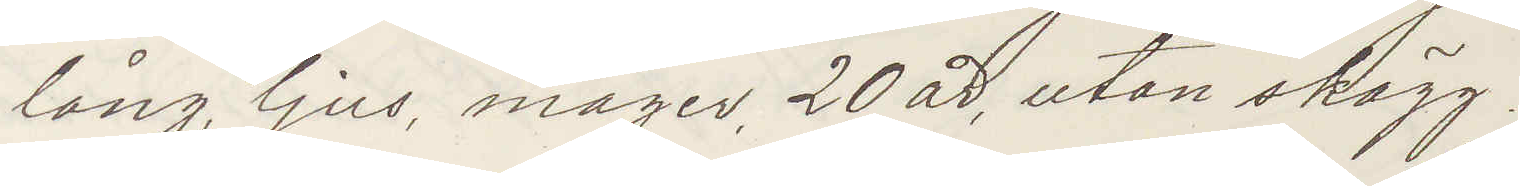lång, ljus, mager, 20 år, utan skägg!
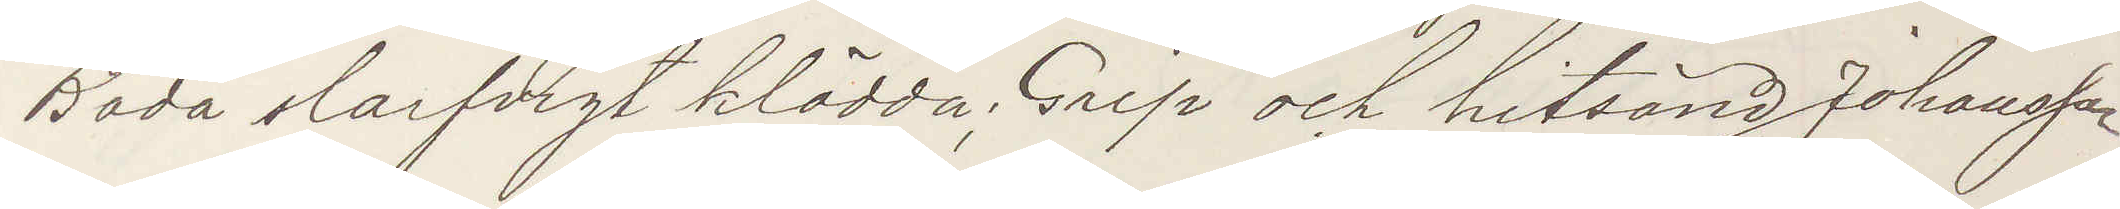Båda slarfvigt klädda; Grip och hitsänd Johansson
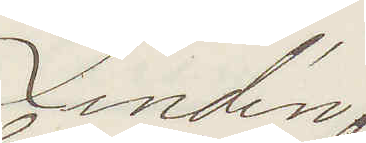Lindén
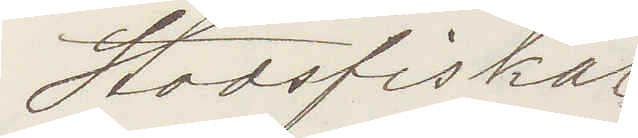Stadsfiskal
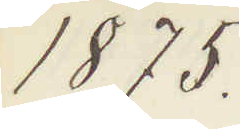1875.
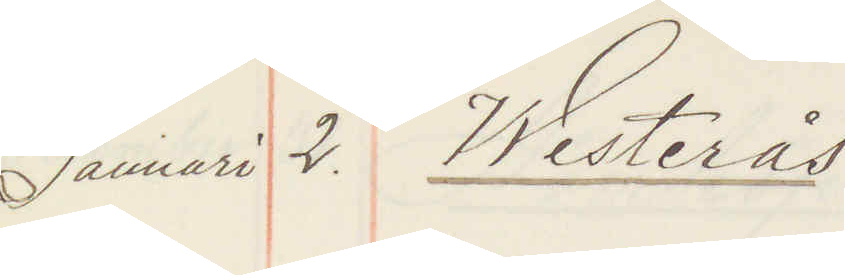Januari 2. Westerås
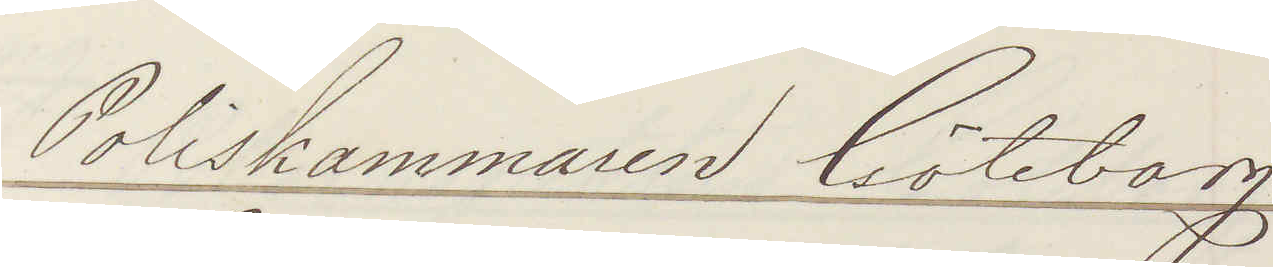Poliskammaren Göteborg
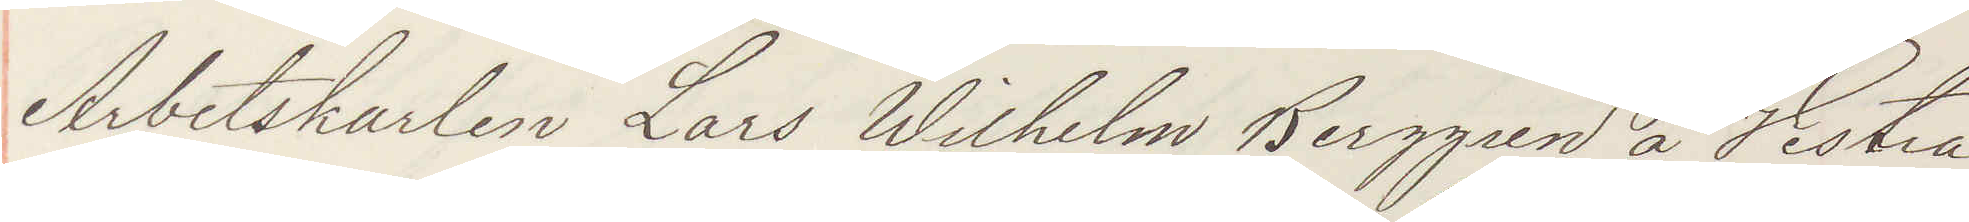Arbetskarlen Lars Wilhelm Berggren å Vestra
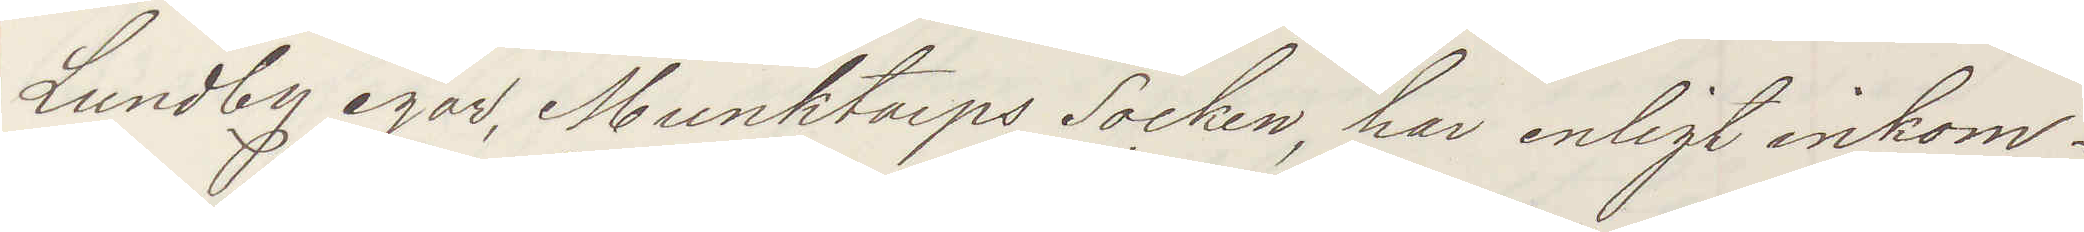Lundby egor, Munktorps Socken, har enligt inkom¬
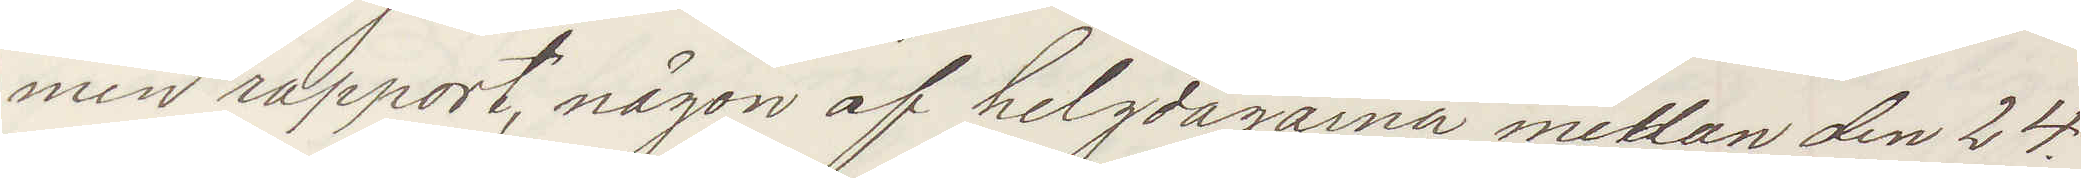men rapport, någon af helgdagarna mellan den 24
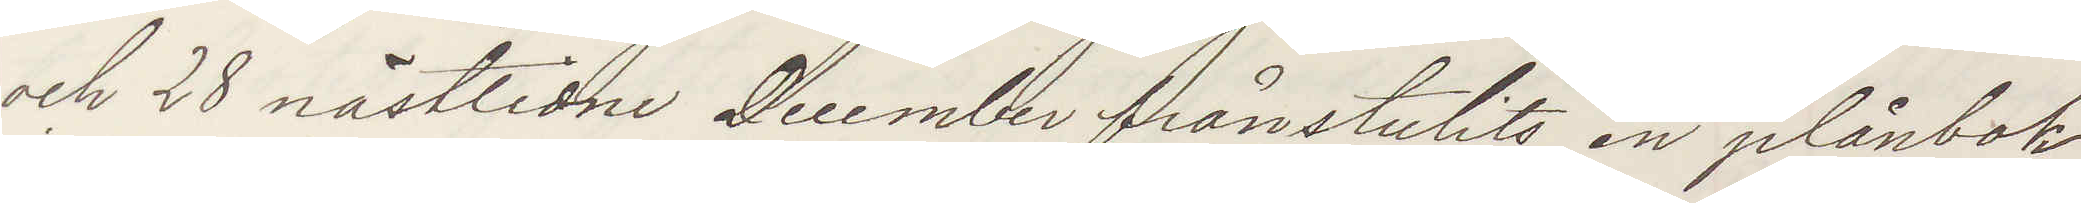och 28 nästlidne December frånstulits, en plånbok
